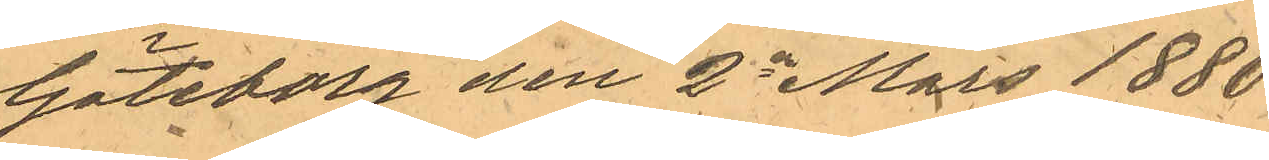Göteborg den 2a  Mars 1880.
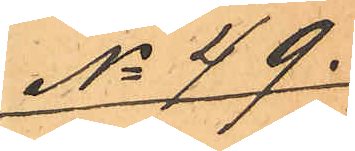No 49.
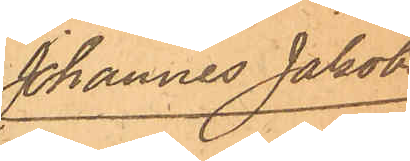Johannes Jakobs¬
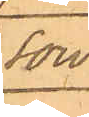son.
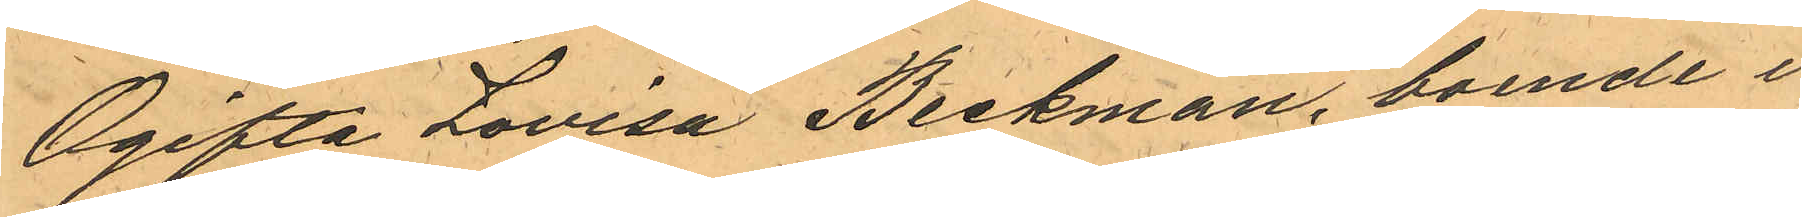Ogifta Lovisa Beckman, boende i
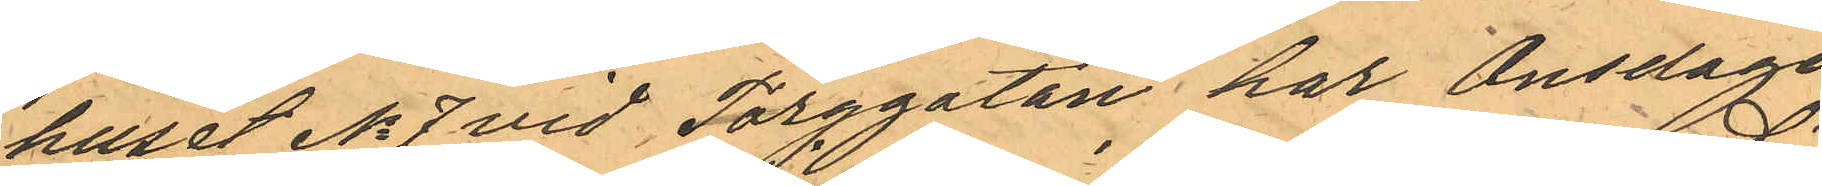huet No 7 vid Torggatan har Onsdagen
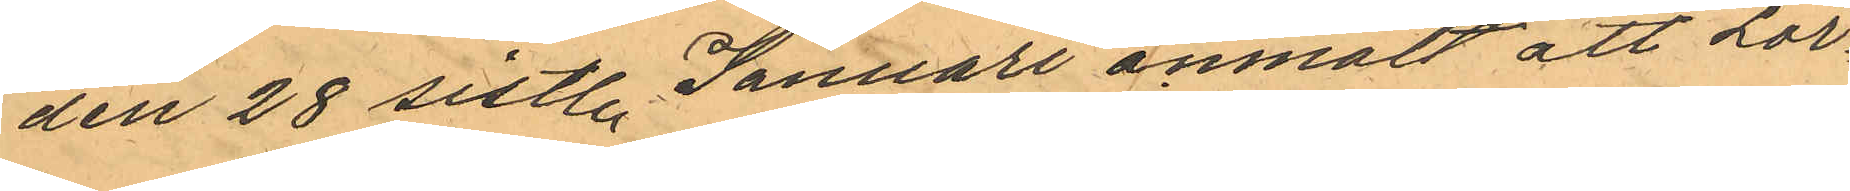den 28 sistl. Januari anmält att Lör¬
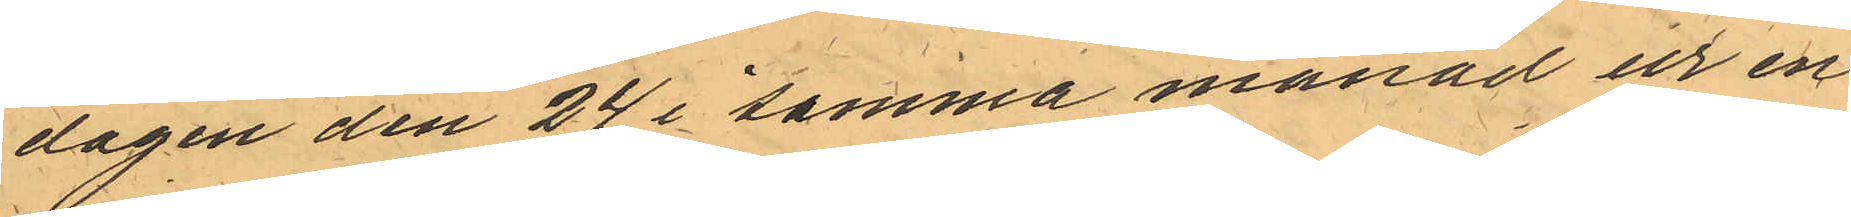dagen den 24 i samma månad ur en
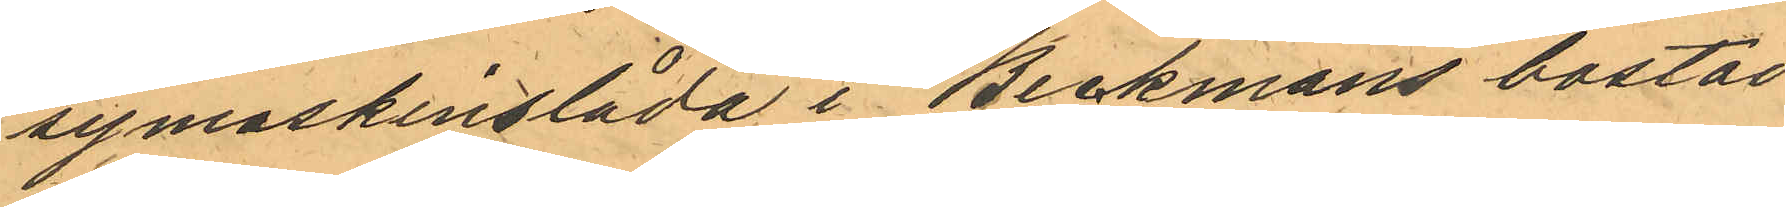symaskinslåda i Beckmans bostad
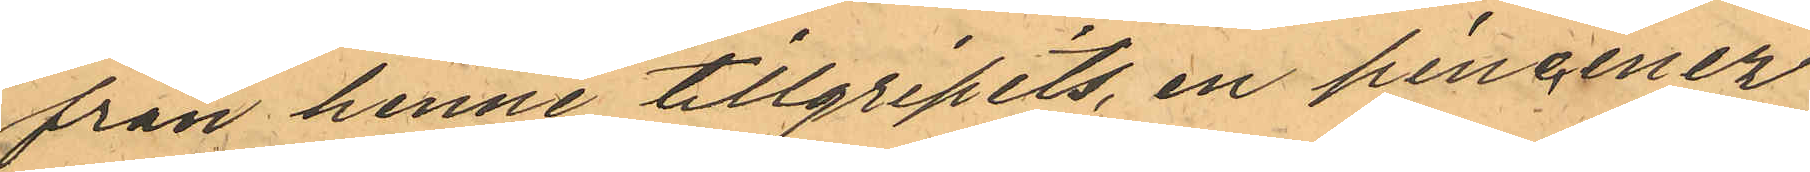från henne tillgripits en pincenez
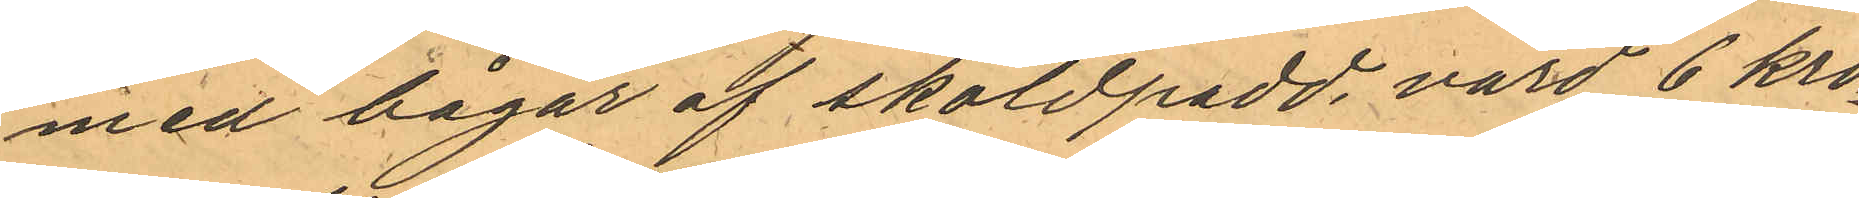med bågar af sköldpadd, vard 6 kro¬
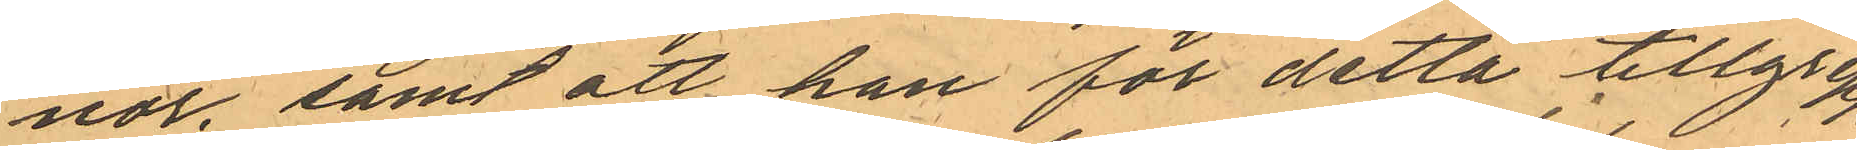nor, samt att han för detta tillgrepp
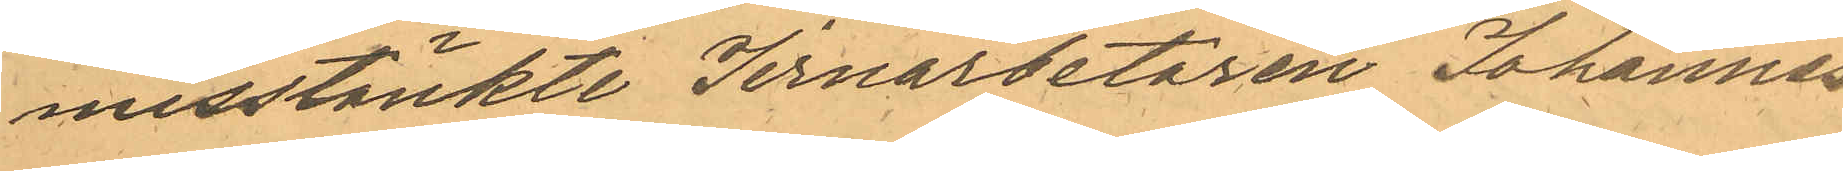misstänkte Jernarbetaren Johannes
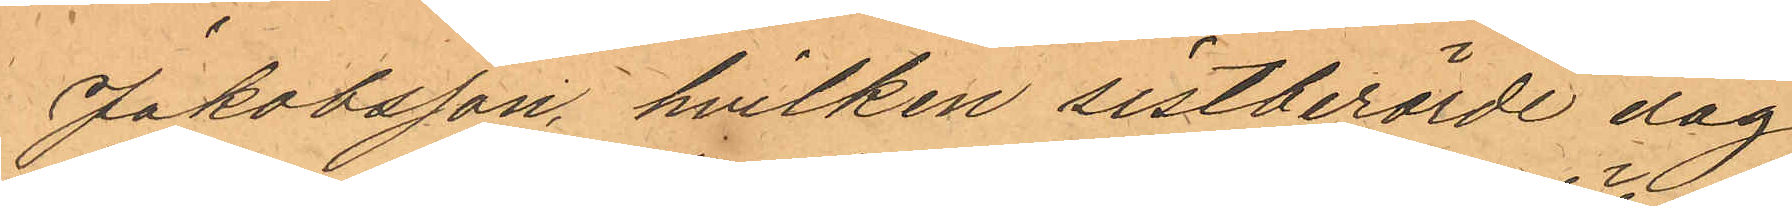Jakobsson, hvilken sistberörde dag 
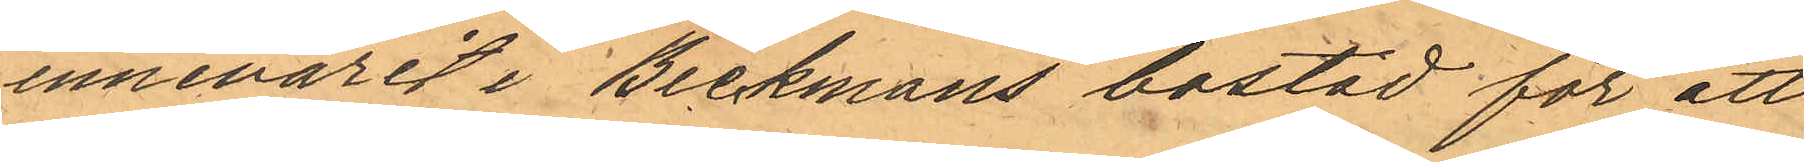innevarit i Beckmans bostad för att
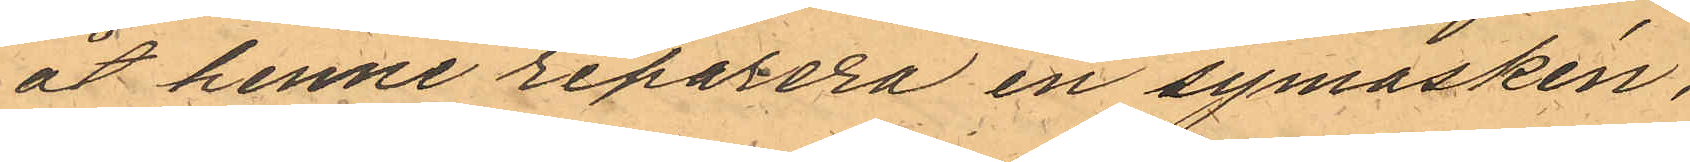åt henne reparera en symaskin,
